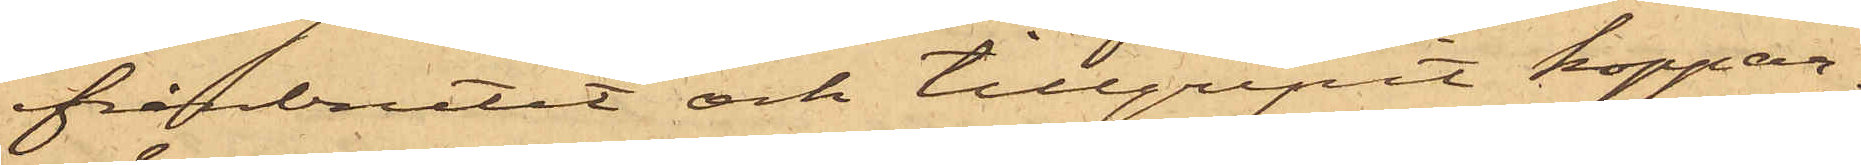frånbrutit och tillgripit koppar¬
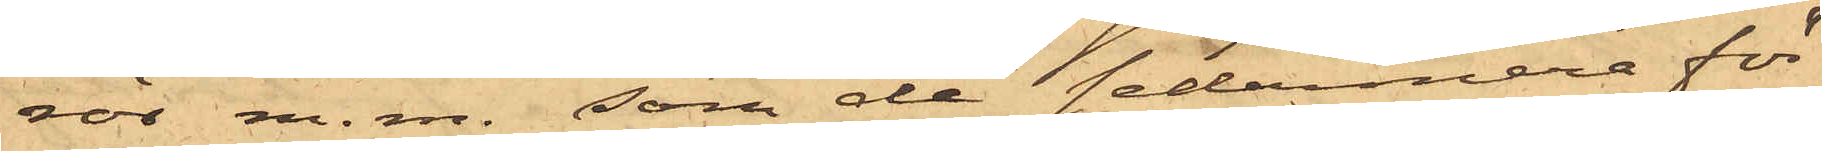rör m. m. som de sedermera för¬
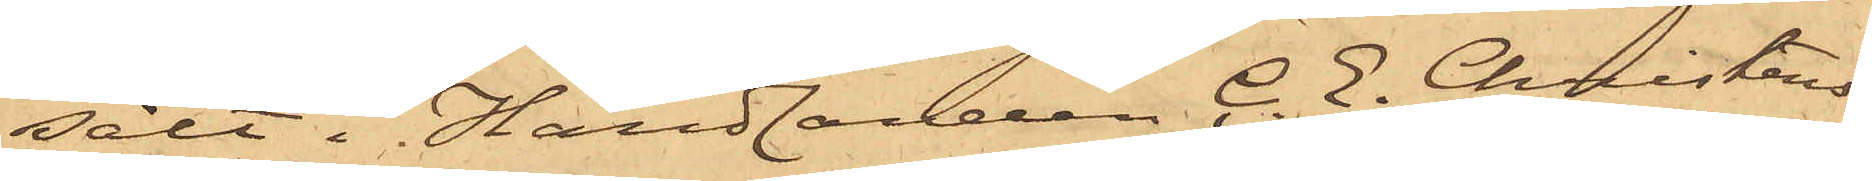sålt i Handlanden C. E. Christens¬
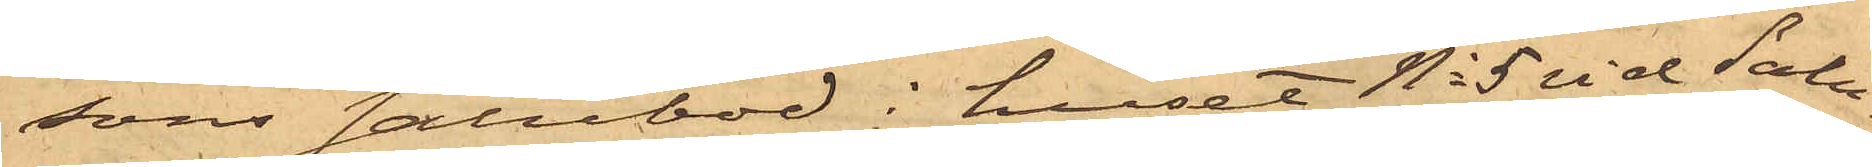sons salubod i huset No 5 vid Salu¬
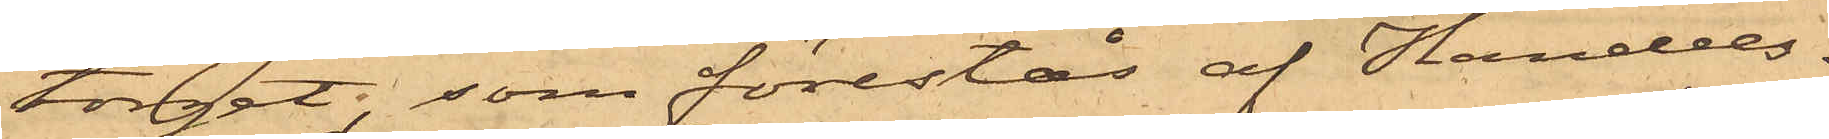torget, som förestås af Handels¬
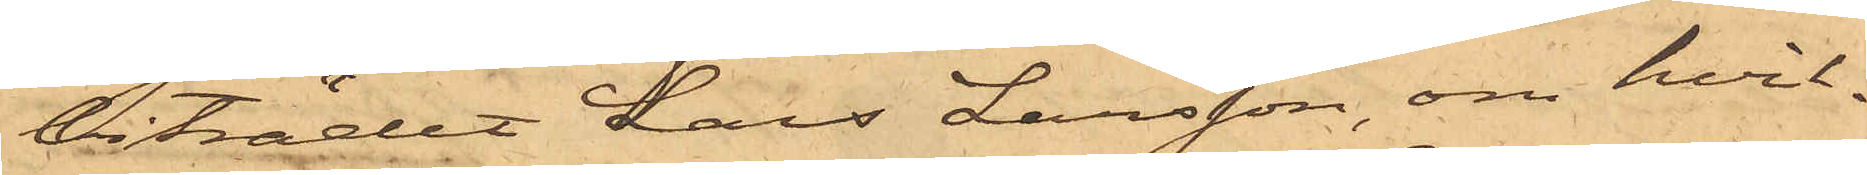biträdet Lars Larsson, om hvil¬
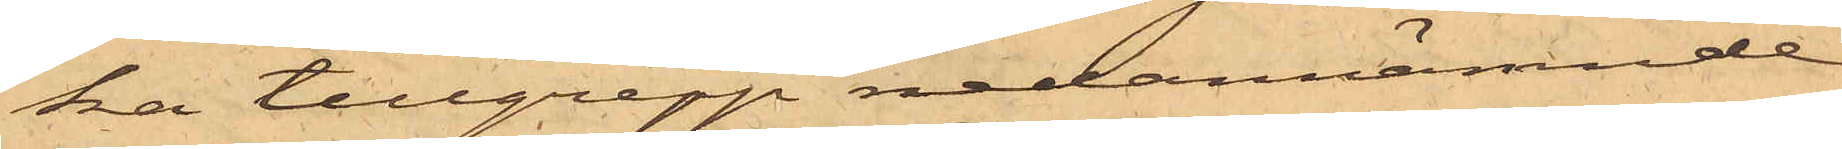ka tillgrepp nedannämnde
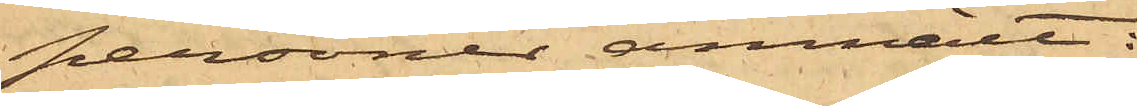personer anmält:
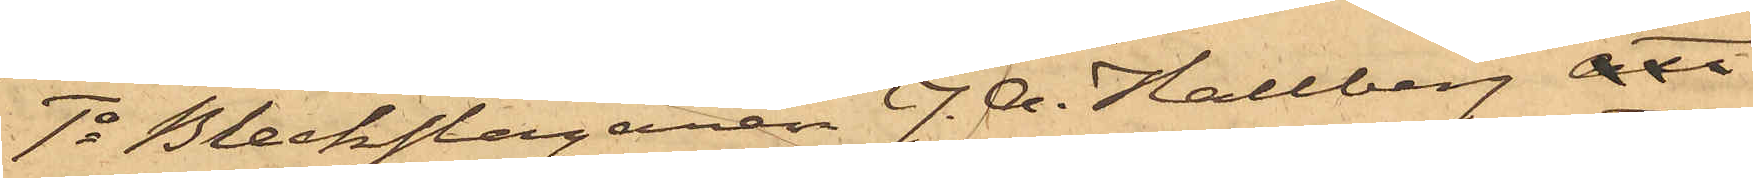1o Bleckslagaren J. A. Hallberg att
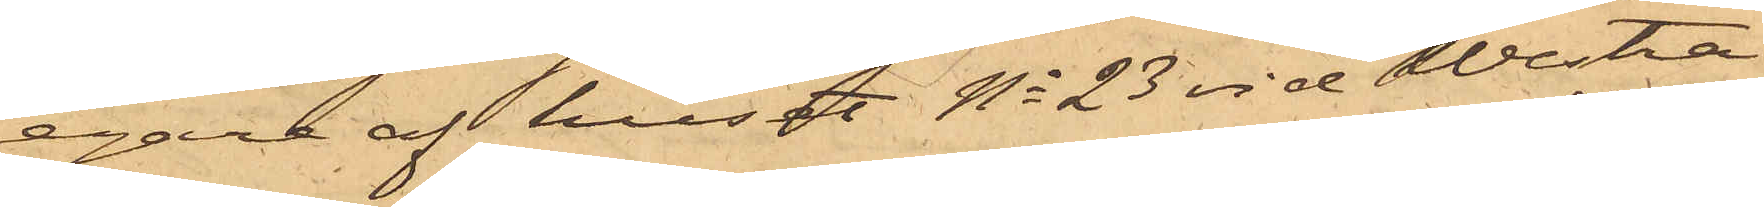egare af huset No 23 vid Westra
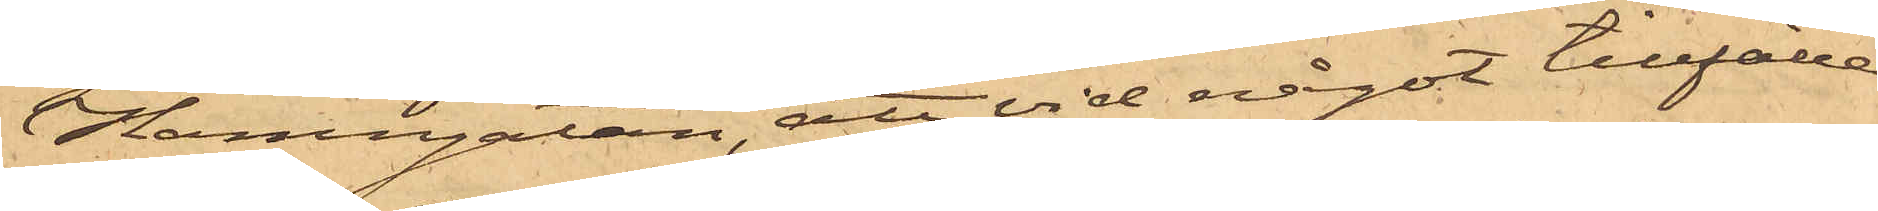Hamngatan, att vid något tillfälle
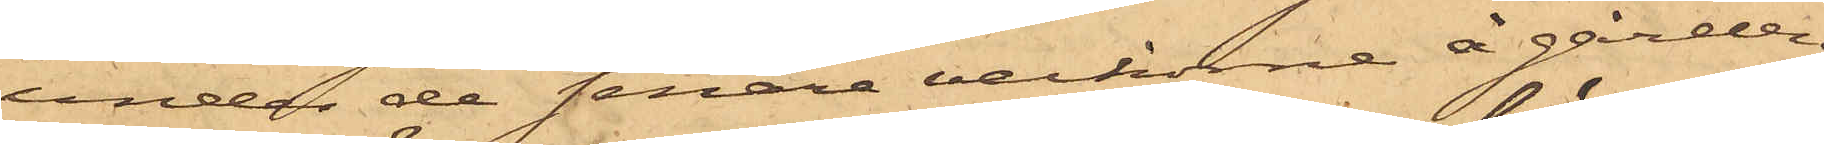under de senare veckorne å gården
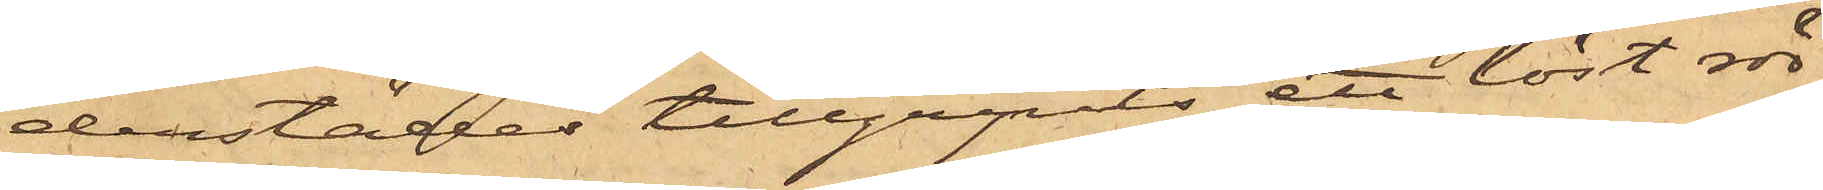derstädes tillgripits ett löst rör
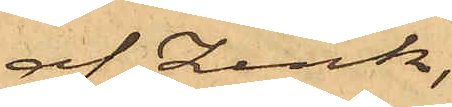af Zink,
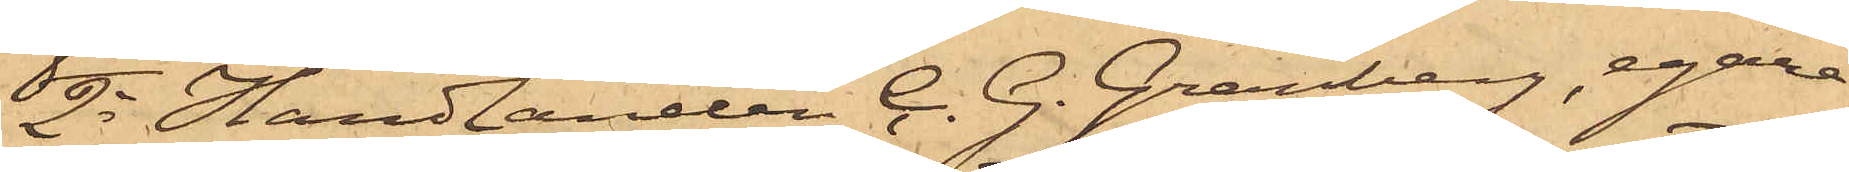2o Handlanden C. G. Granberg, egare
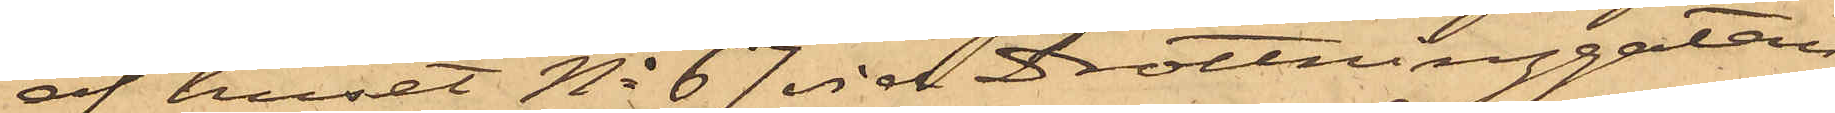af huset No 67 vid Drottninggatan,
